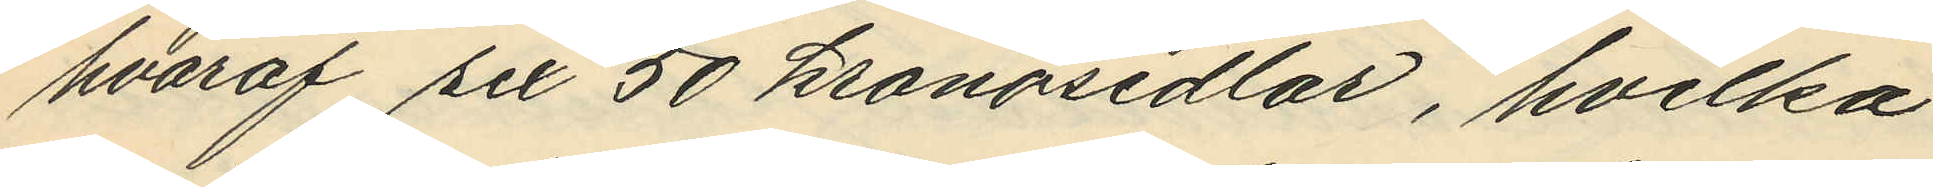hvaraf sex 50 kronosedlar, hvilka
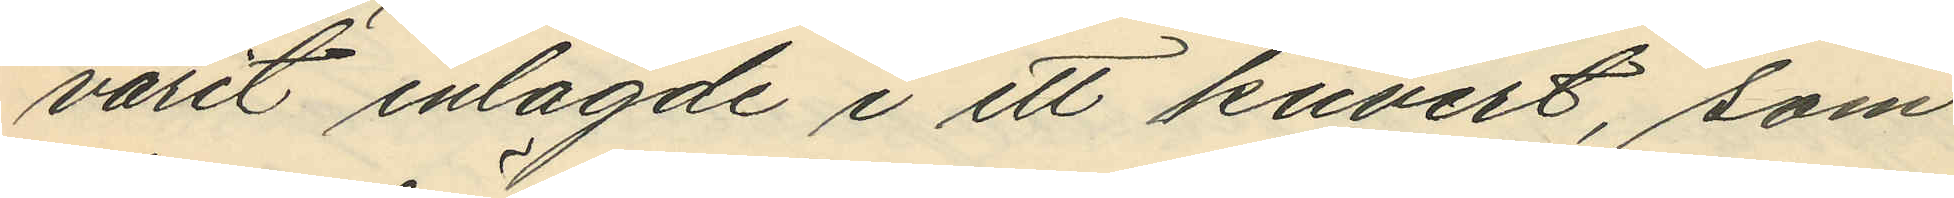varit inlagde i ett kuvert, som
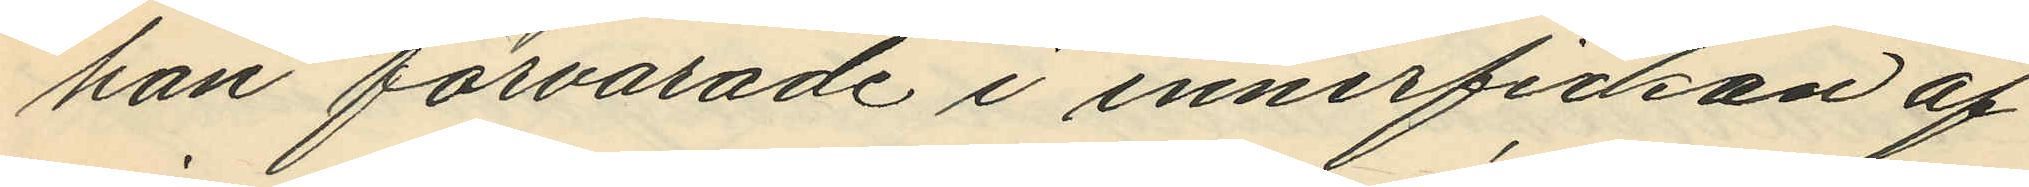han förvarade i innerfickan af
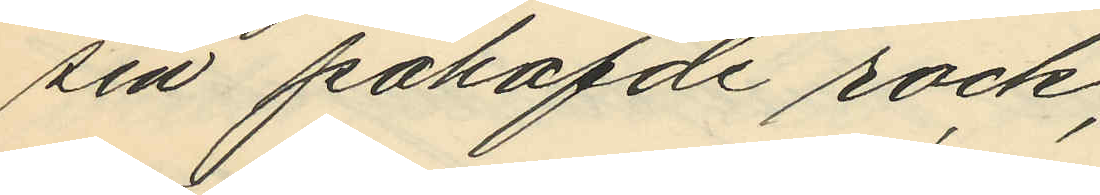sin påhafde rock;
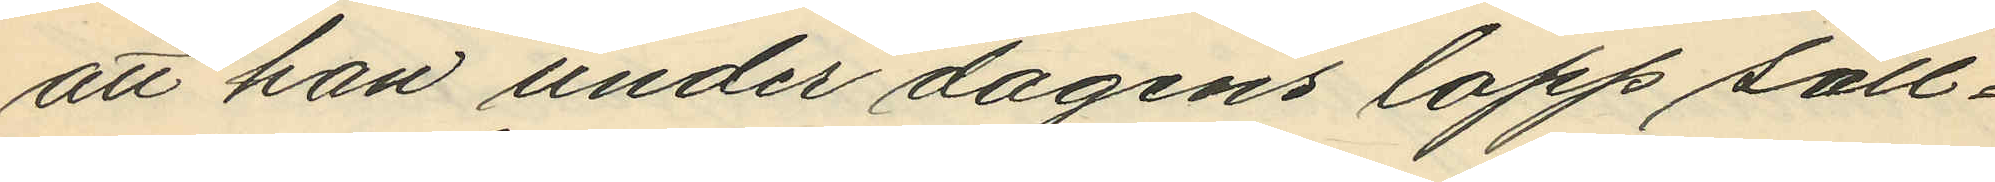att han under dagens lopp säll¬
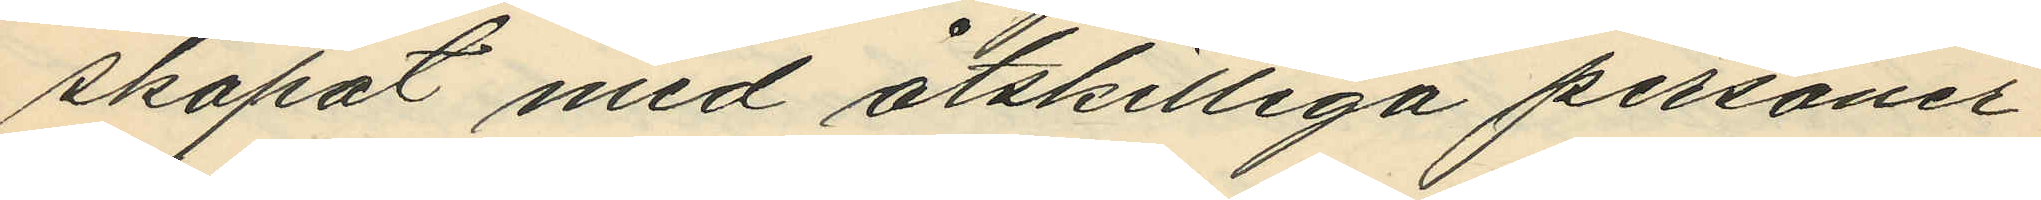skapat med åtskilliga personer
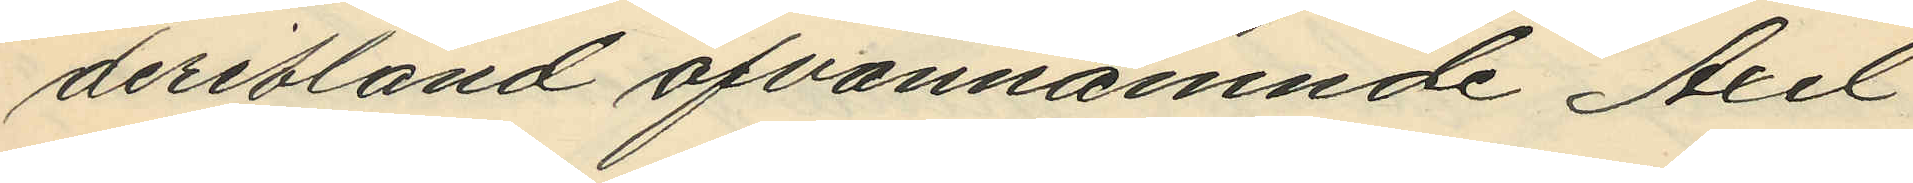deribland ofvannämnde Axel
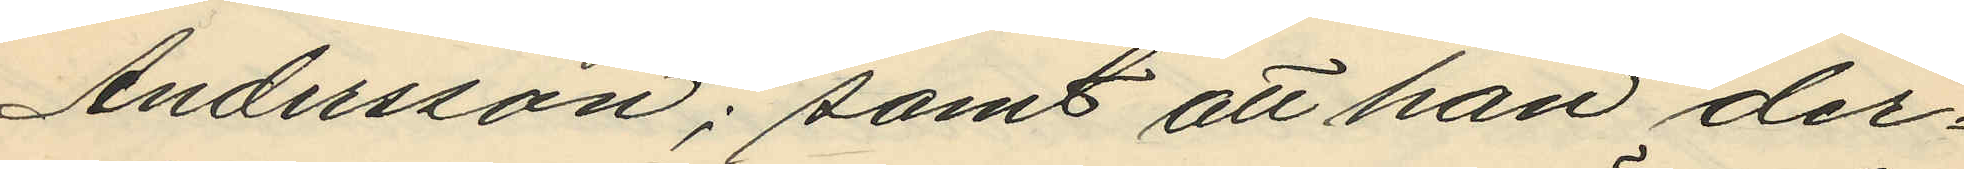Andersson; samt att han der¬
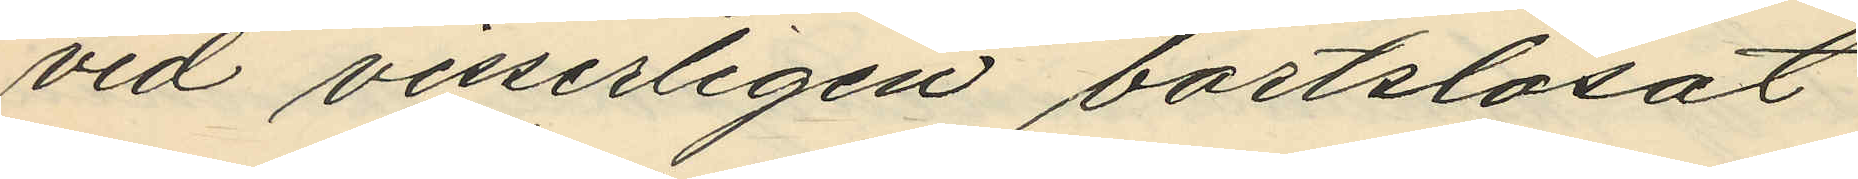vid visserligen bortslösat
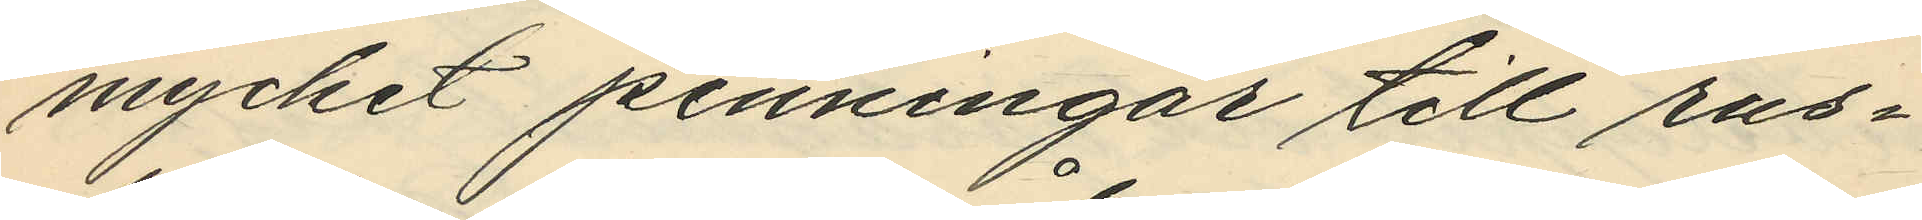mycket penningar till rus¬
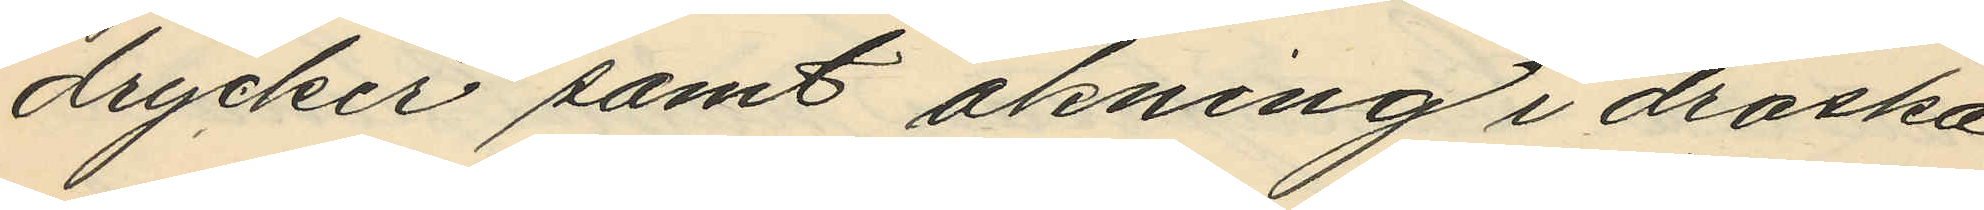drycker samt åkning i droska
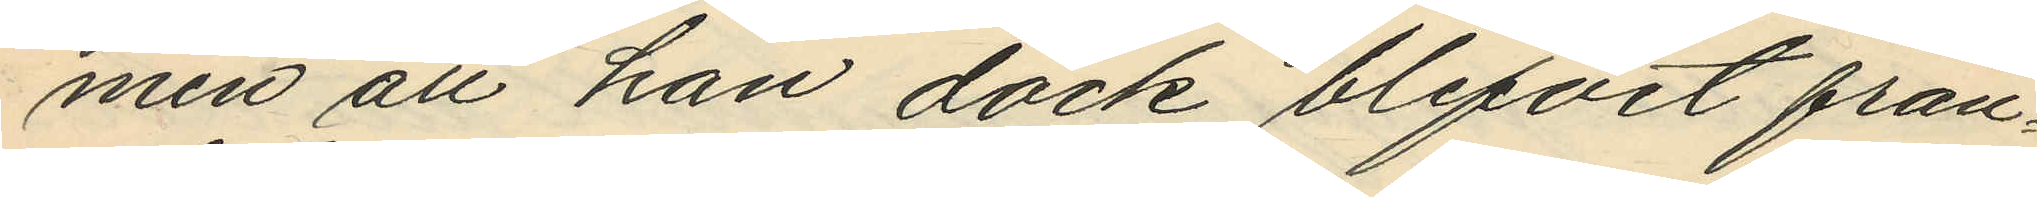men att han dock blifvit från¬
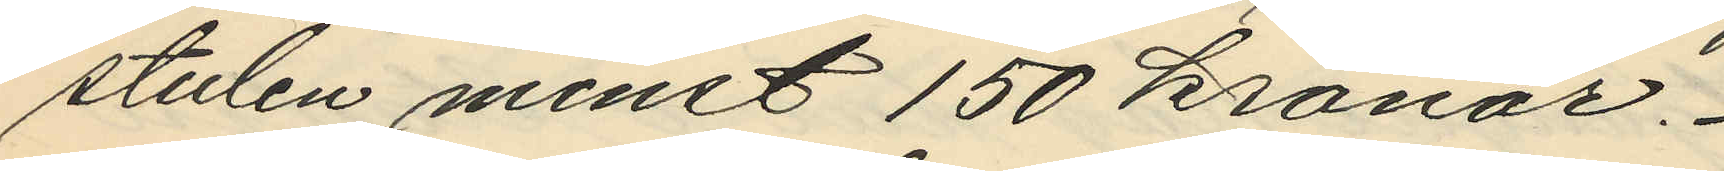stulen minst 150 kronor.
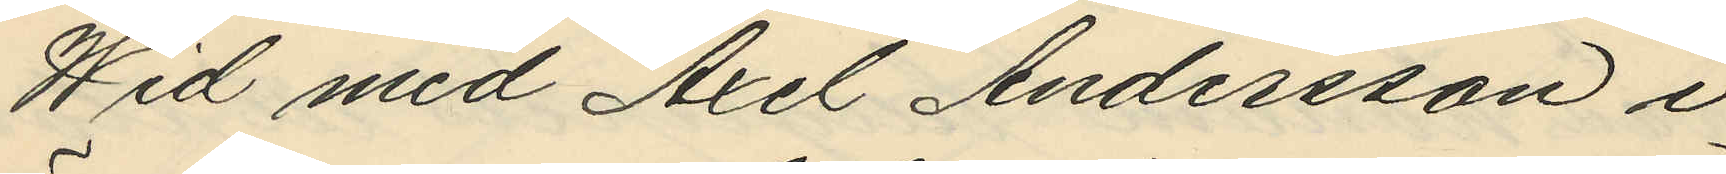Wid med Axel Andersson i
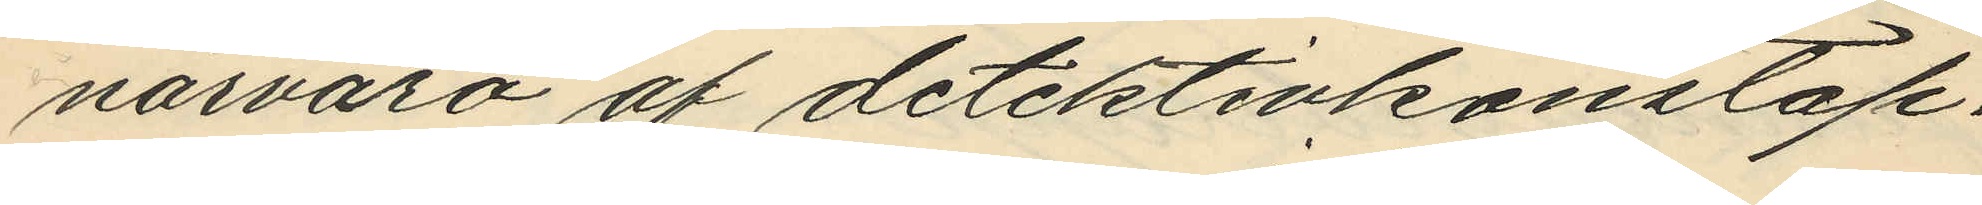närvaro af detektivkonstap¬
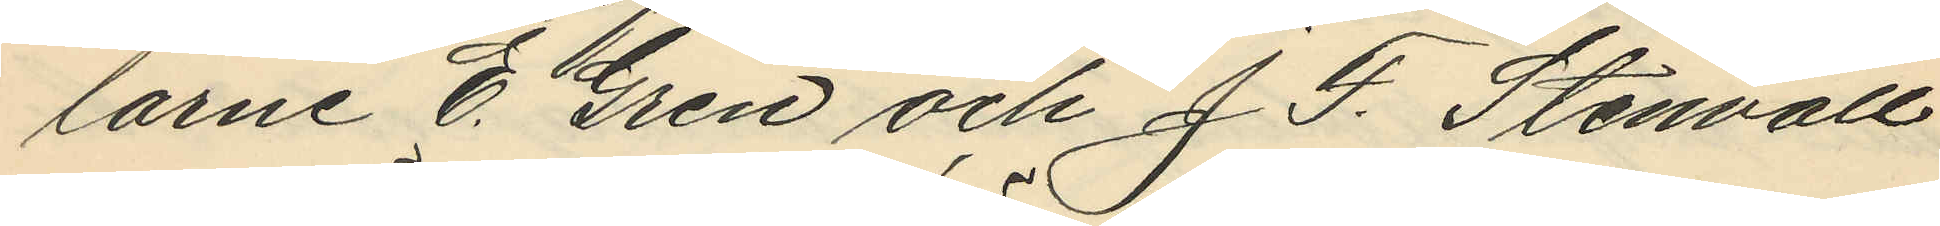larne E. Gren och J. F. Stenvall
